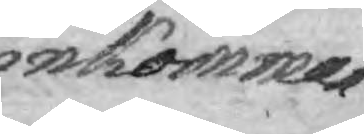inkomman¬
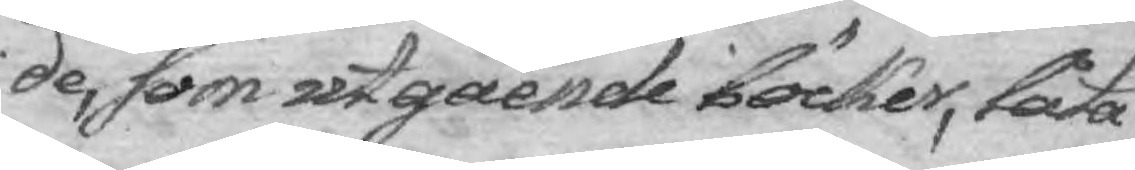de, som utgående böcker, låta
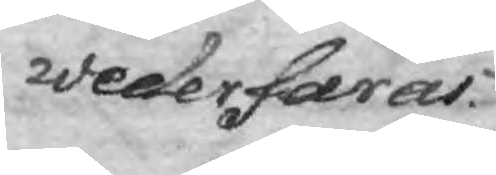wederfaras.
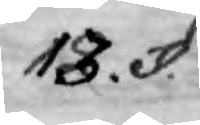13. §.
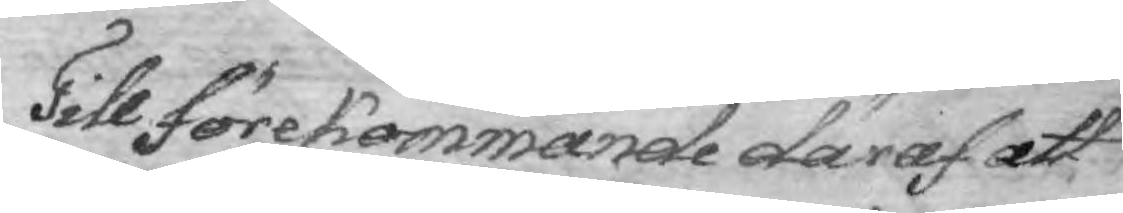Till förekommande däraf att
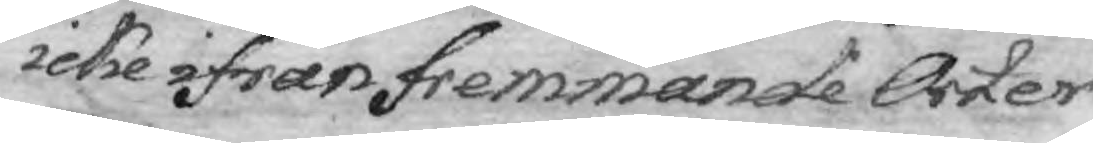icke ifrån fremmande Orter
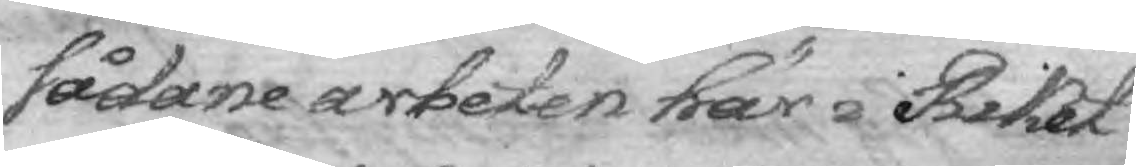sådane arbeten här i Riket
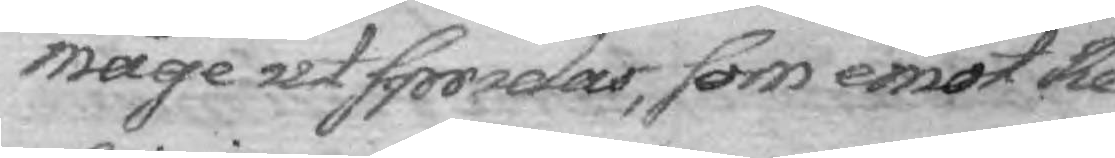måge utspridas, som emot Re¬
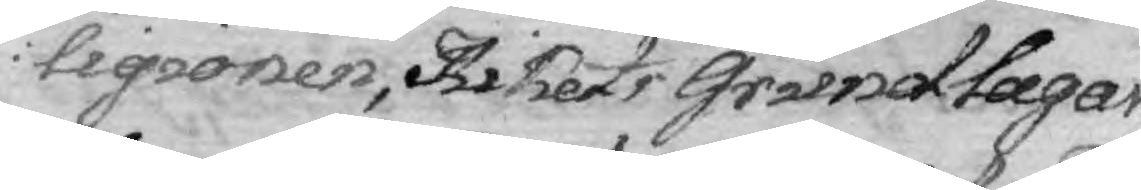ligionen, Rikets Grundlagar
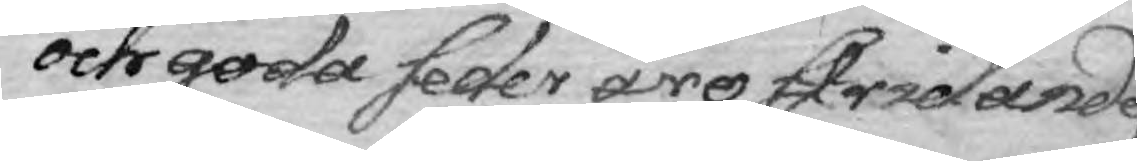och goda seder äro stridande,
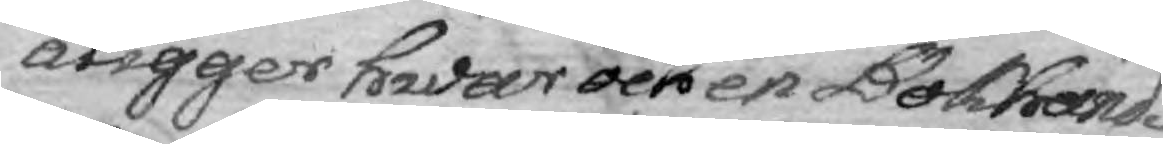åligger hwar och en Dokhand¬
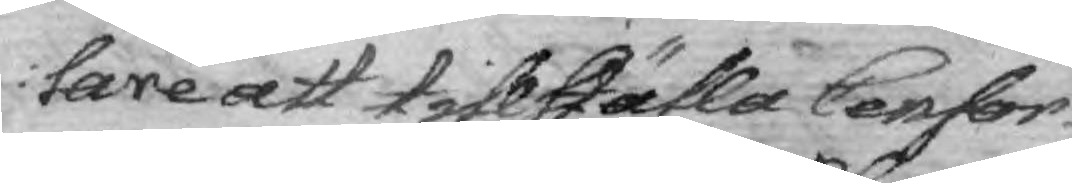lare att tillställa Censor
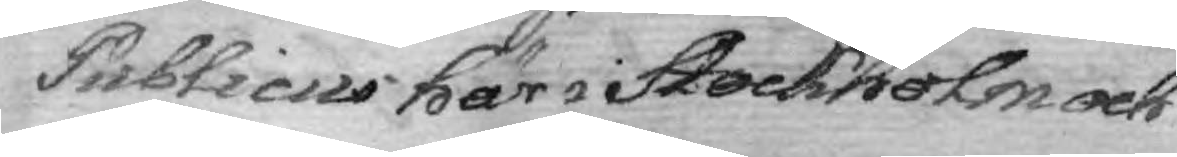Publicus här i Stockholm och
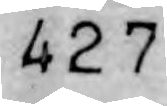427
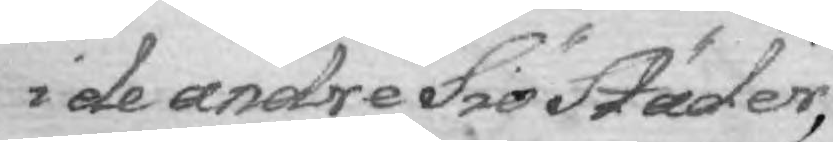i de andre Siö Städer,
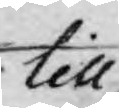till
